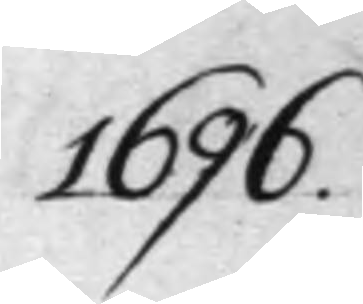1696.
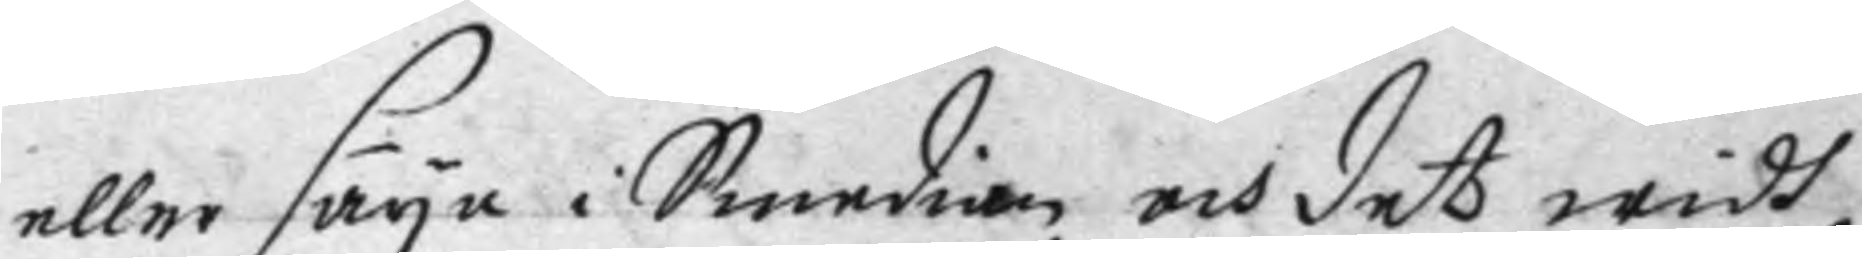eller säya i Smedian, och det widh
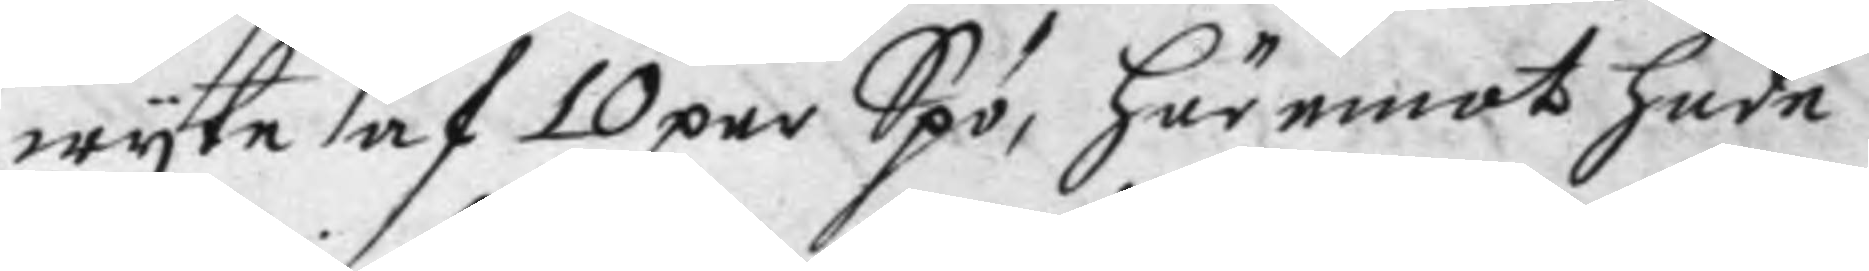wyte af 10 par Spö, här emot hade
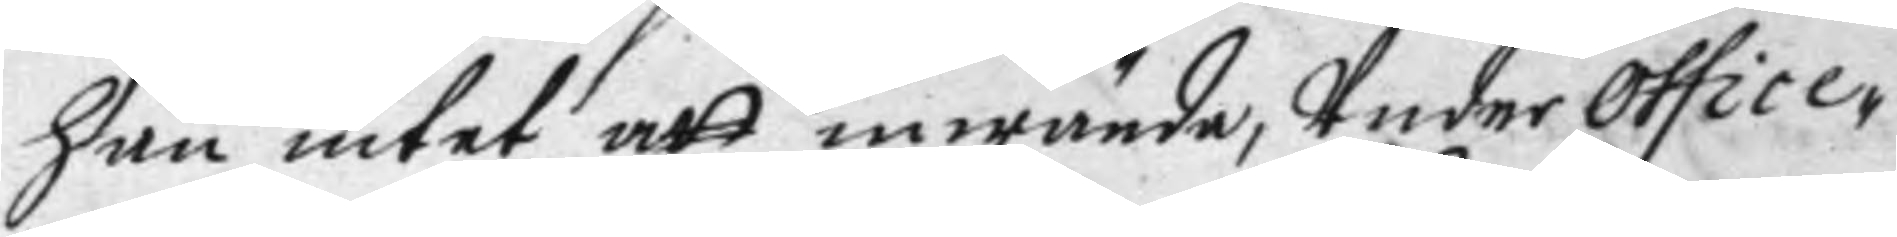han intet att inwända, Under Office¬
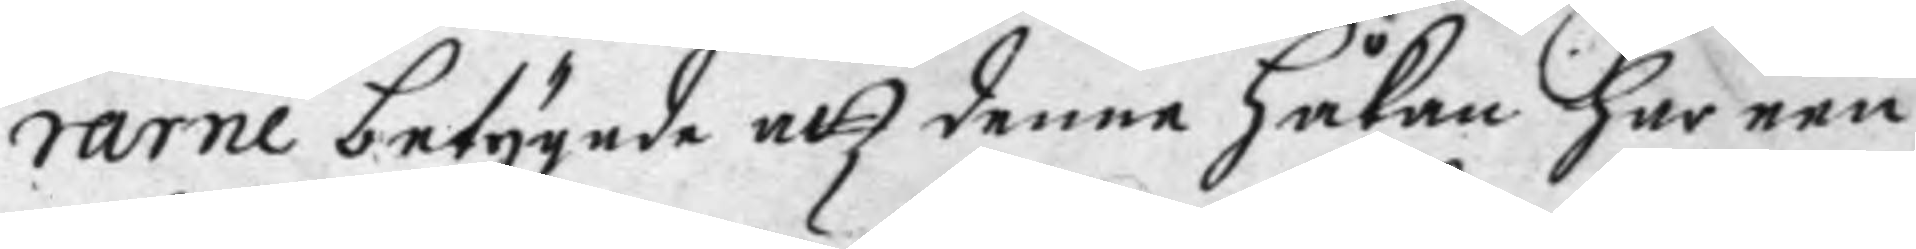rarne betygade att denne Håkan han een
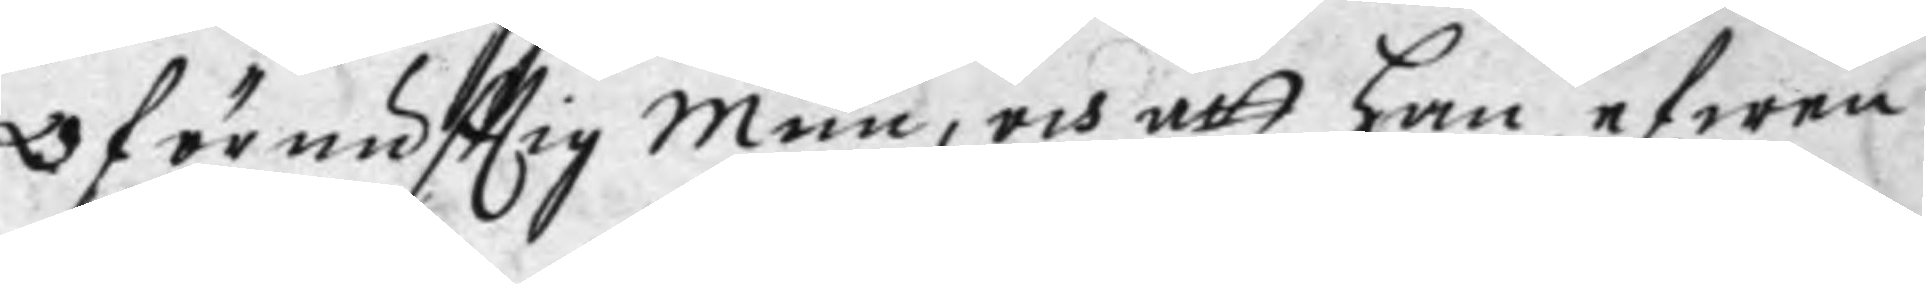Oförnufttig Mun, och att han efwen
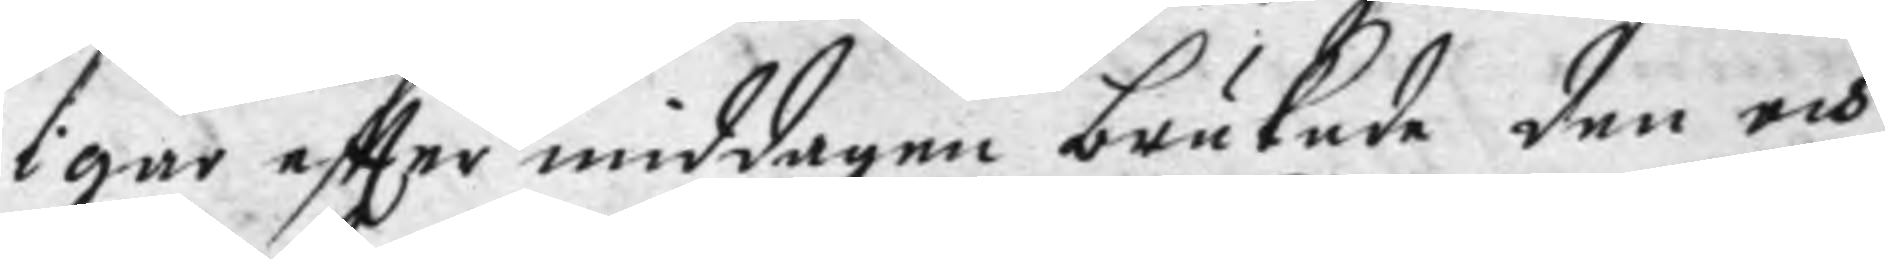i går eftter middagen brukade den och
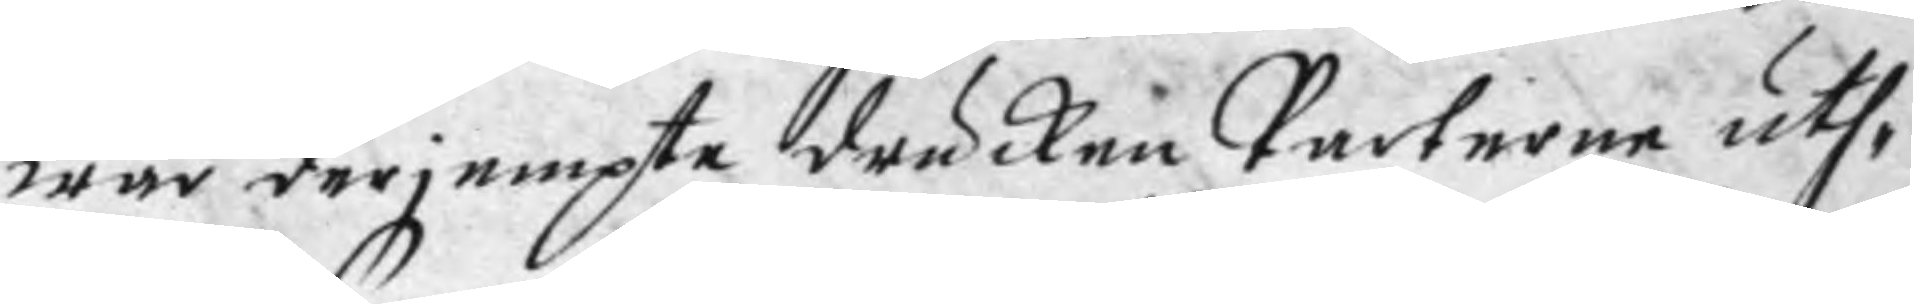war derjempte drucken Parterne uth¬
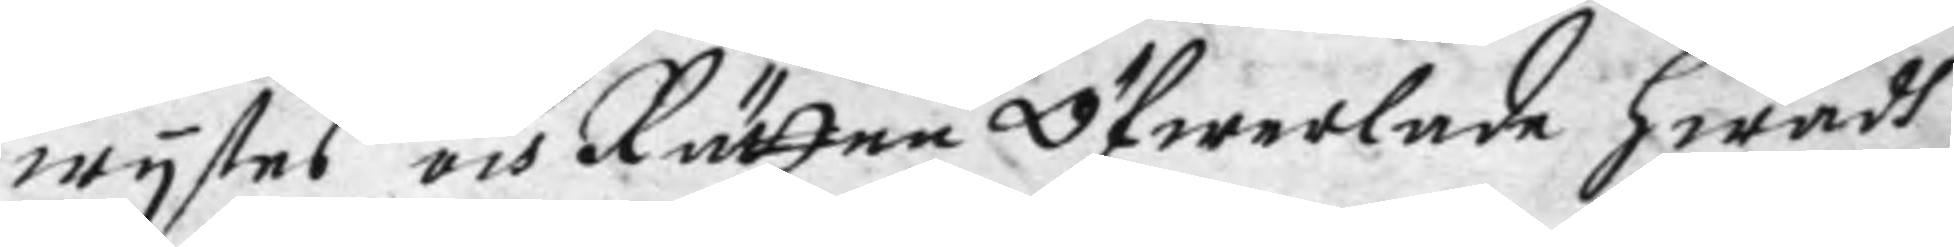wystes och Rätten Öfwerlade hwadh
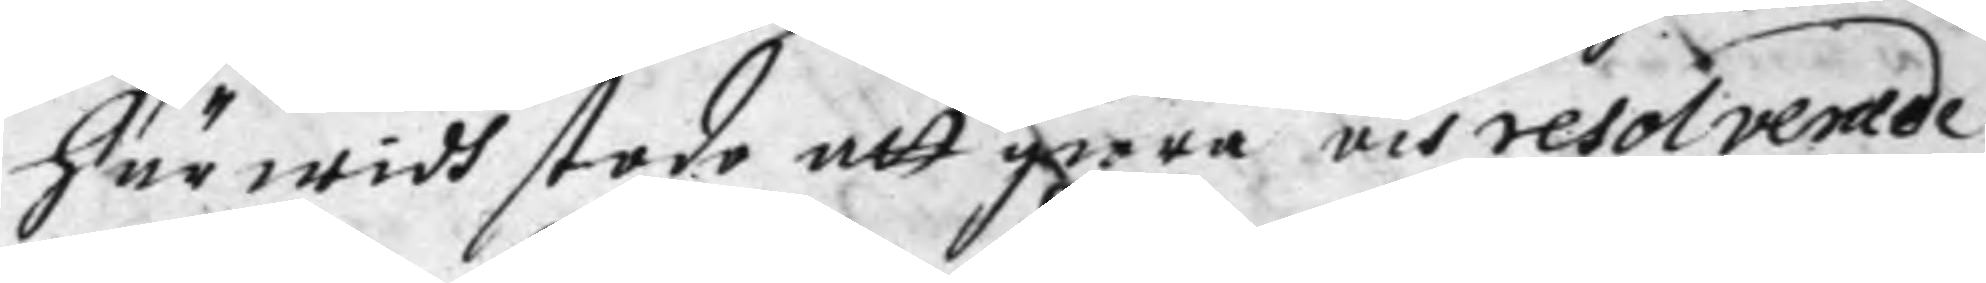härwidh stodo att giöra och resolverade
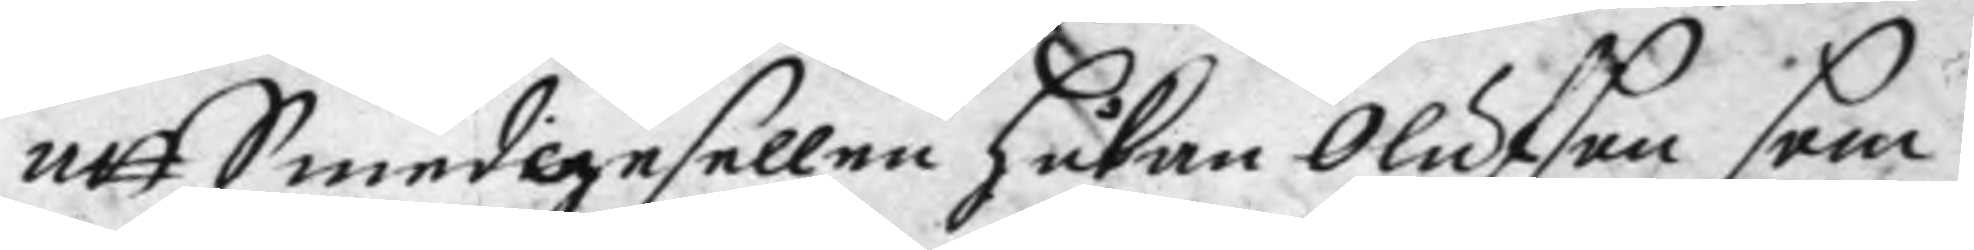att Smedigesellen Håkan Olufson som
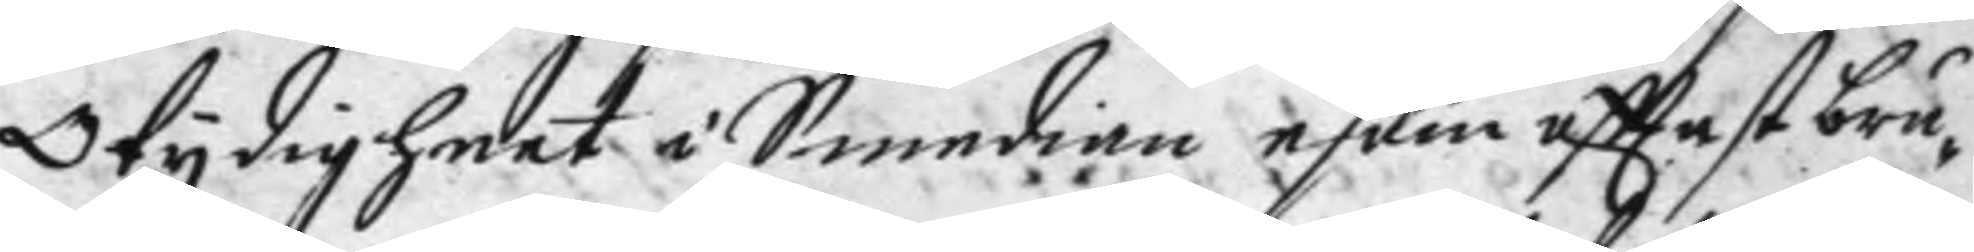Otydigheet i Smedian esom ofttast bru¬
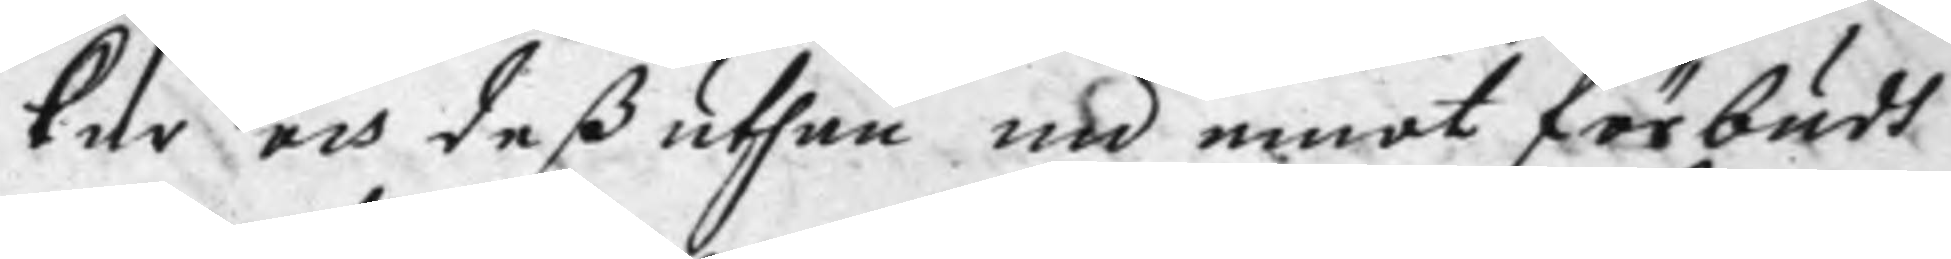kar och deß uthan nu emot förbudh
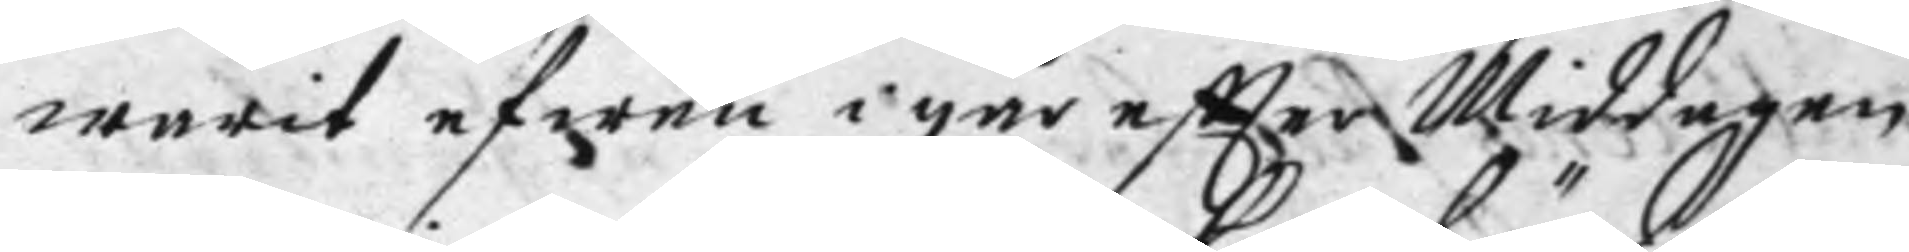warit efwen i går eftter Middagen
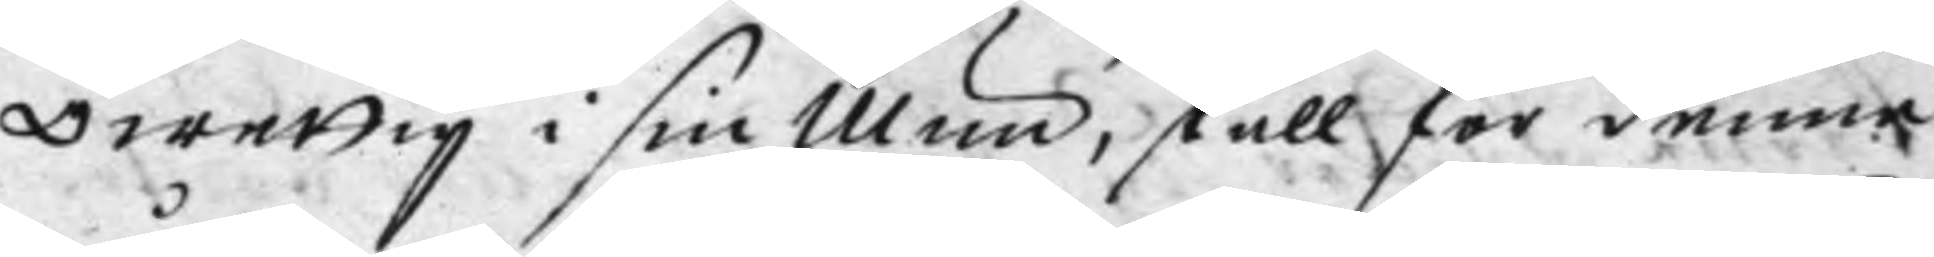Owettig i sin Mun, skall för denne
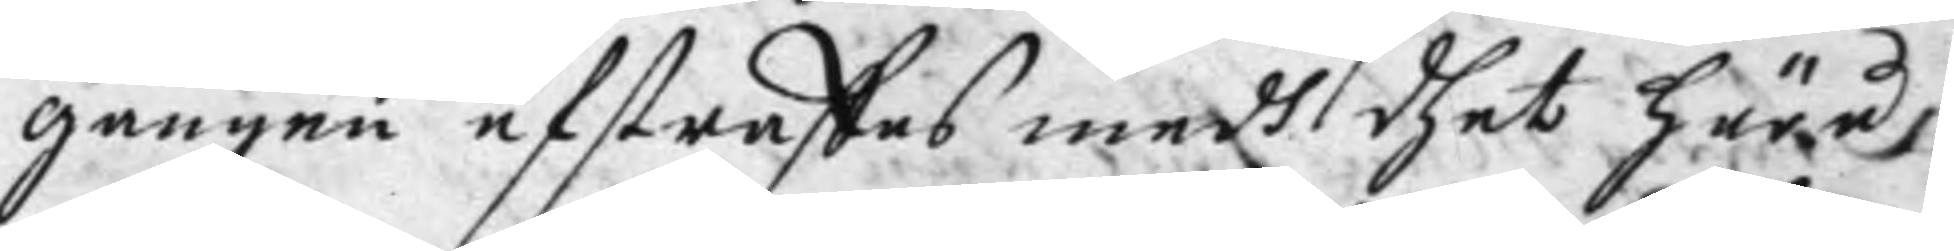gången afstraffas medh dhet häre
